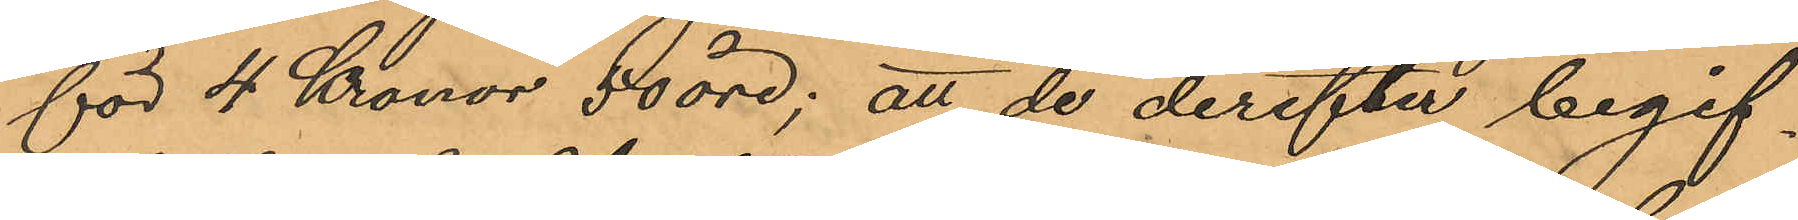för 4 Kronor 50 öre; att de derefter begif¬
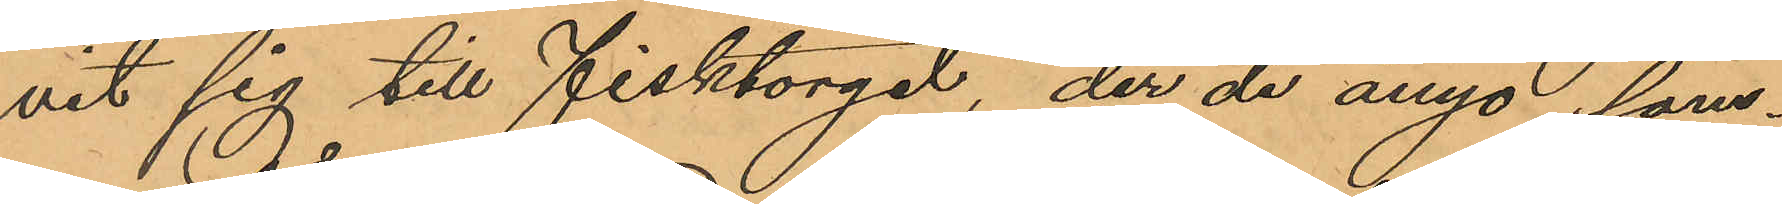vit sig till Fisktorget, der de ånyo sam¬
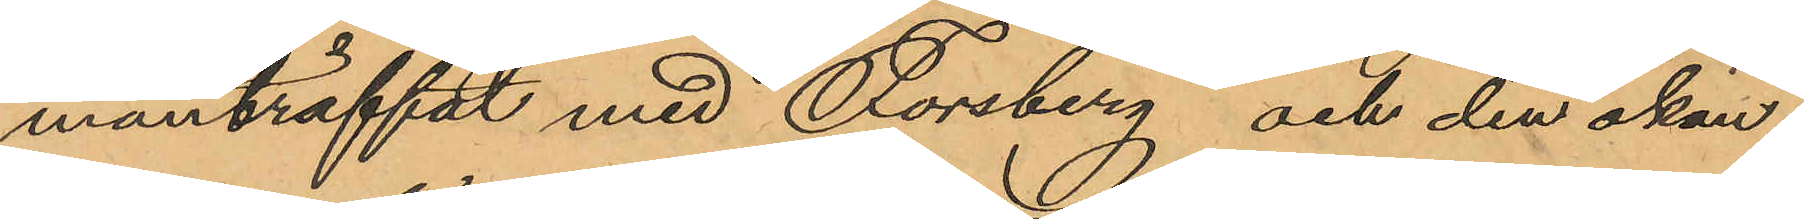manträffat med Forsberg och den okän¬
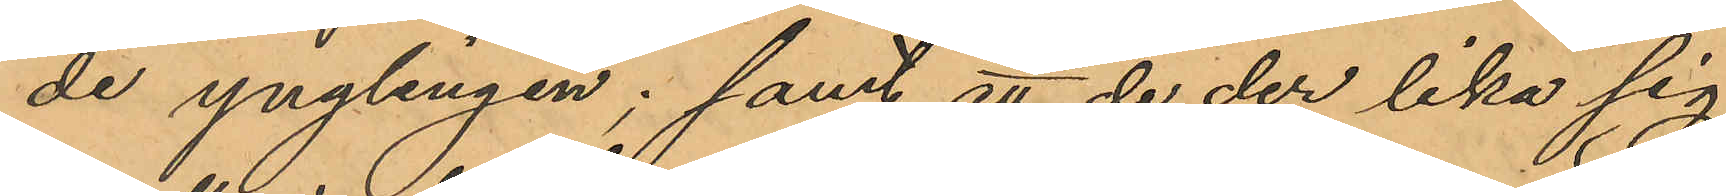de ynglingen; samt att de der lika sig
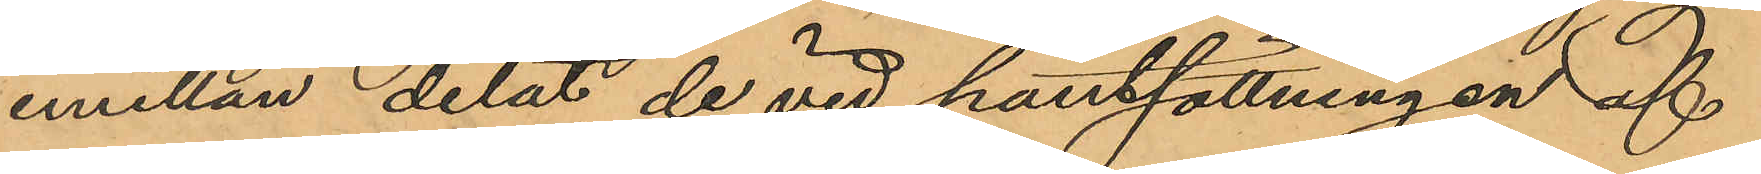emellan delat de vid pantsättningen af
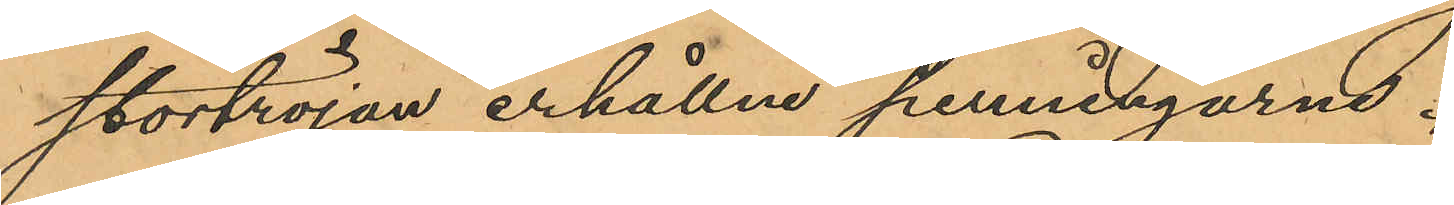stortröjan erhållne penningarne.
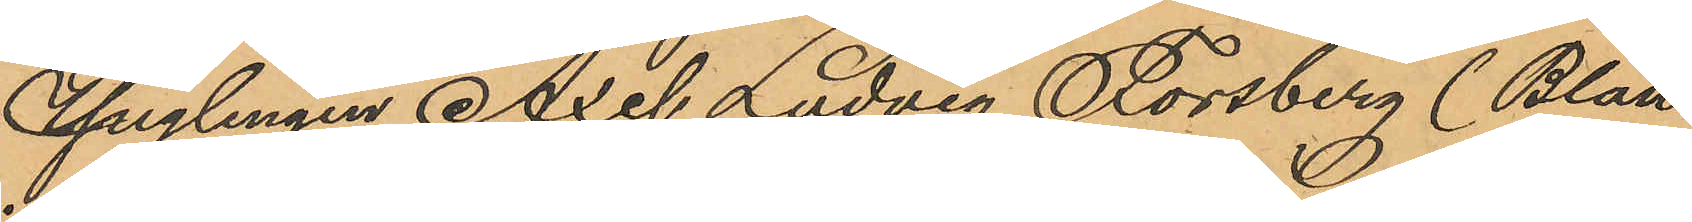Ynglingen Axel Ludvig Forsberg (Blan¬
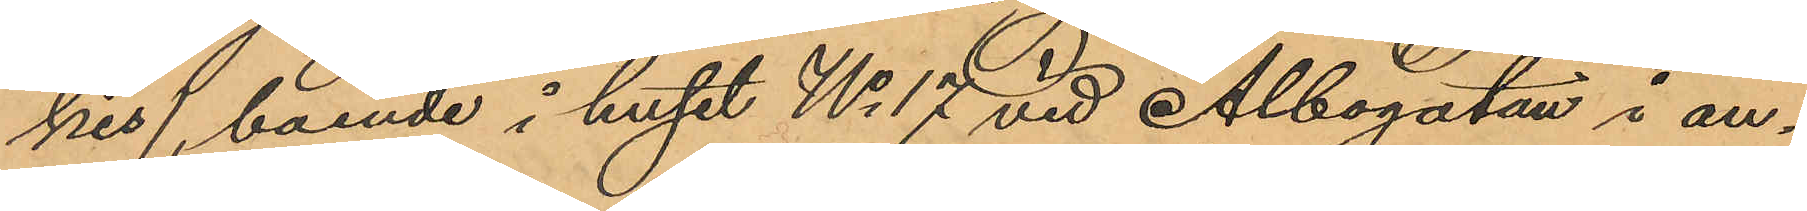kis), boende i huset No 17 vid Albogatan i an¬
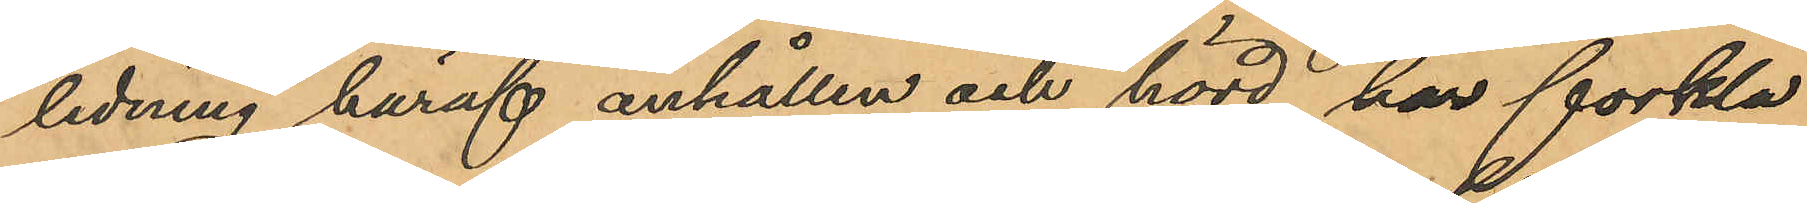ledning häraf anhållen och hörd, har förkla¬
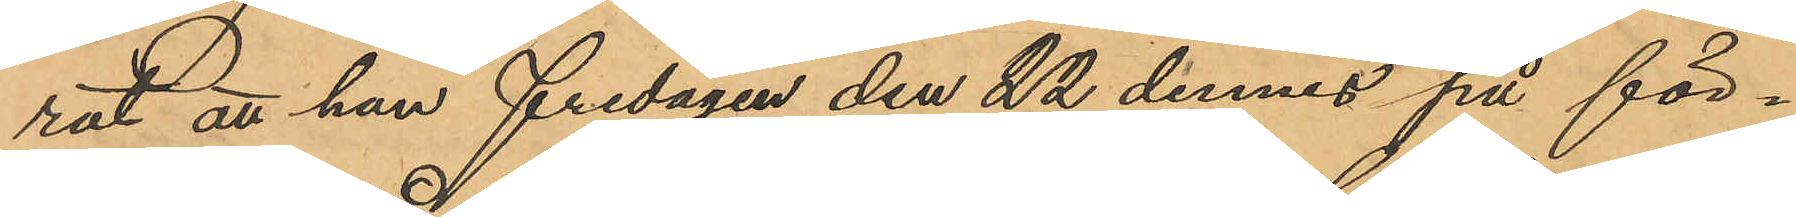rat att han fredagen den 22 dennes på för¬
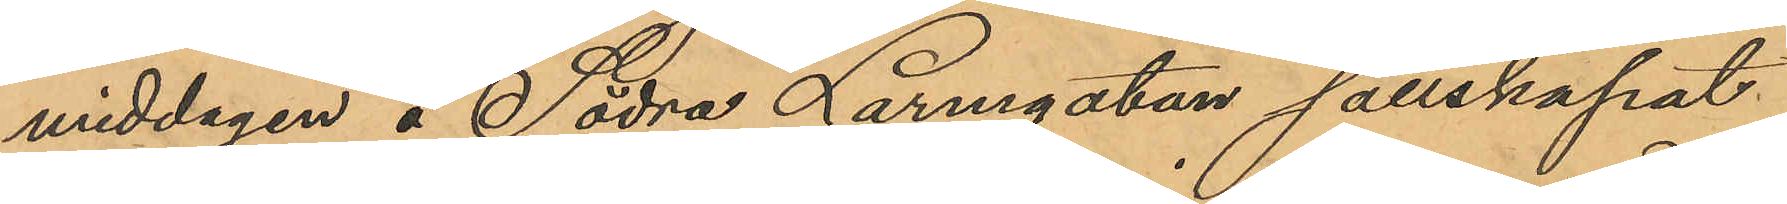middagen å Södra Larmgatan sällskapat
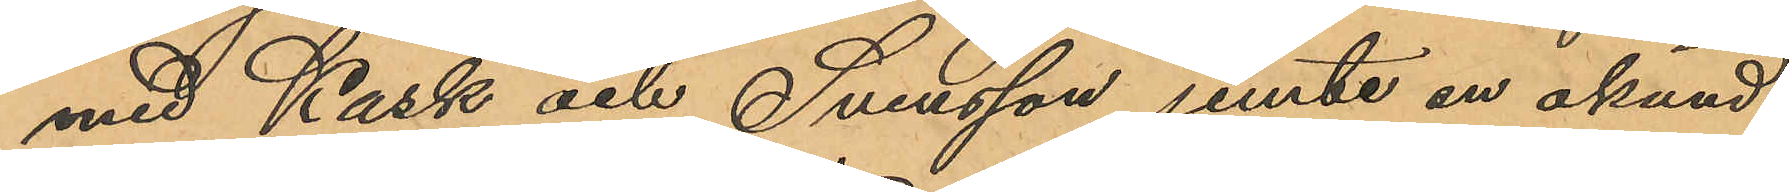med Kask och Svensson jemte en okänd
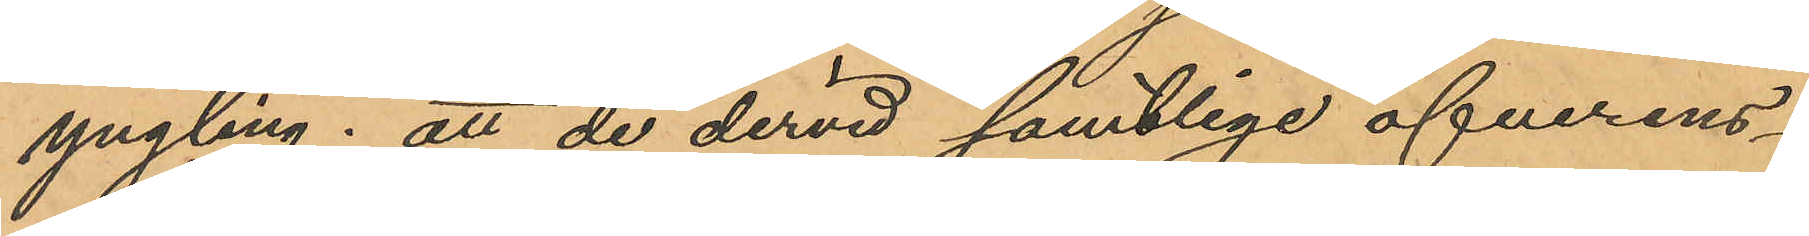yngling; att de dervid samtlige öfverens¬
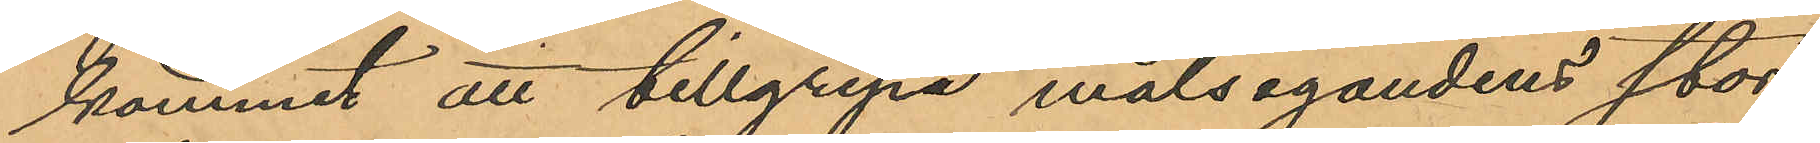kommit att tillgripa målsegandens stor¬
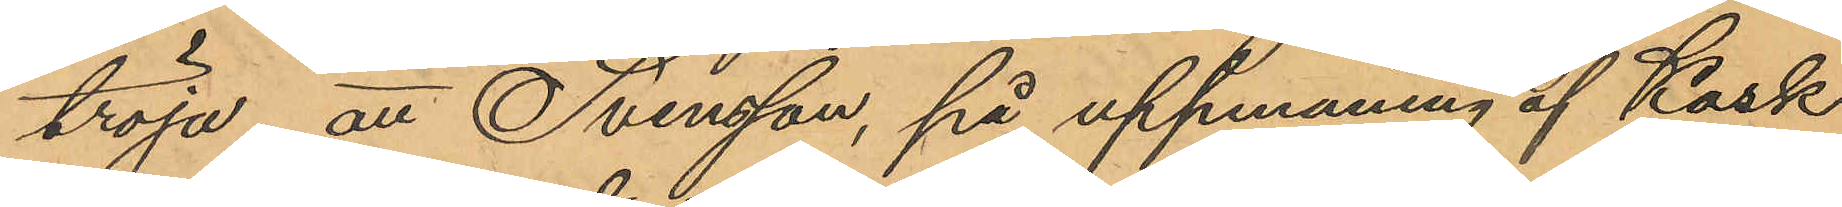tröja; att Svensson, på uppmaning af Kask
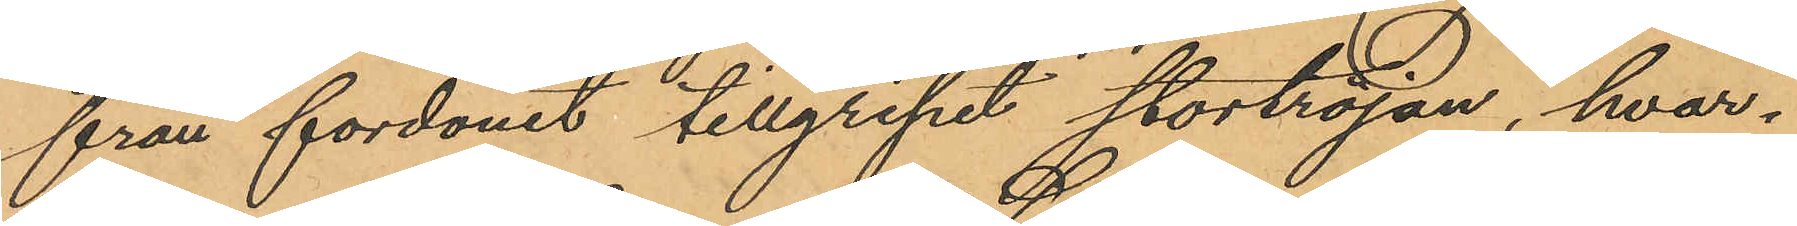från fordonet tillgripit stortröjan, hvar¬
